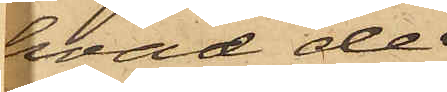hvad de
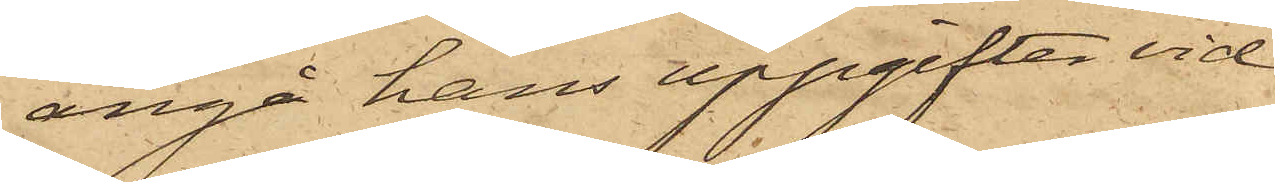angå hans uppgifter vid
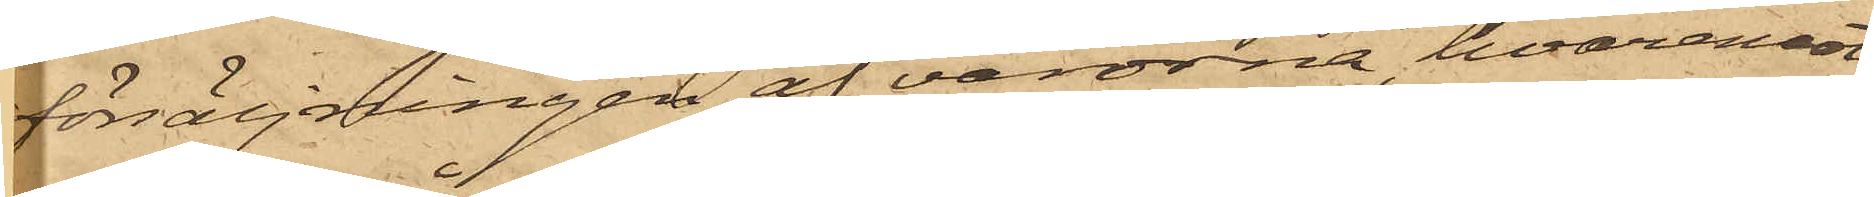försäljningen af varorna, hvaremot
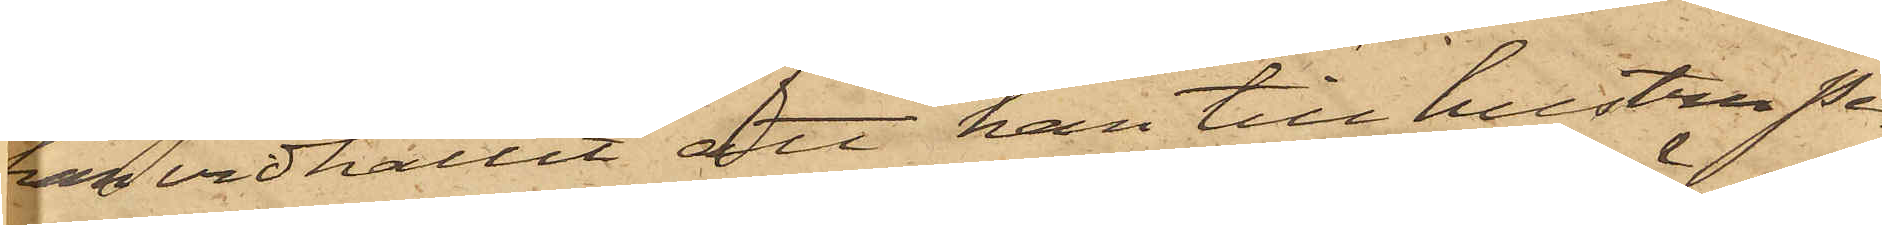han vidhållit att han till hustru Pe¬
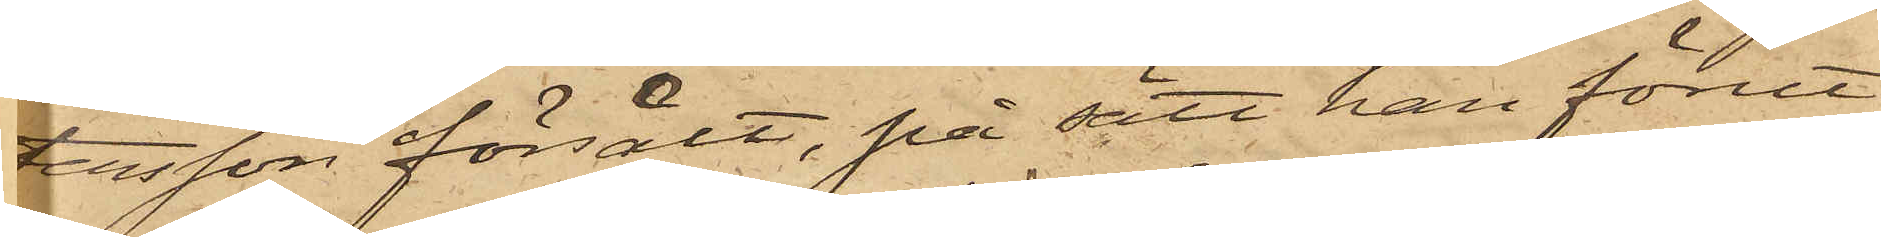tersson försålt, på sätt han förut
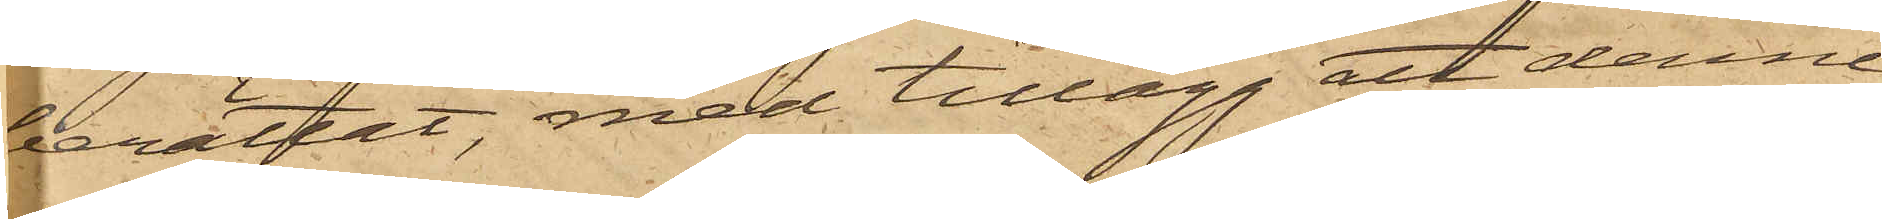berättat, med tillägg att denne
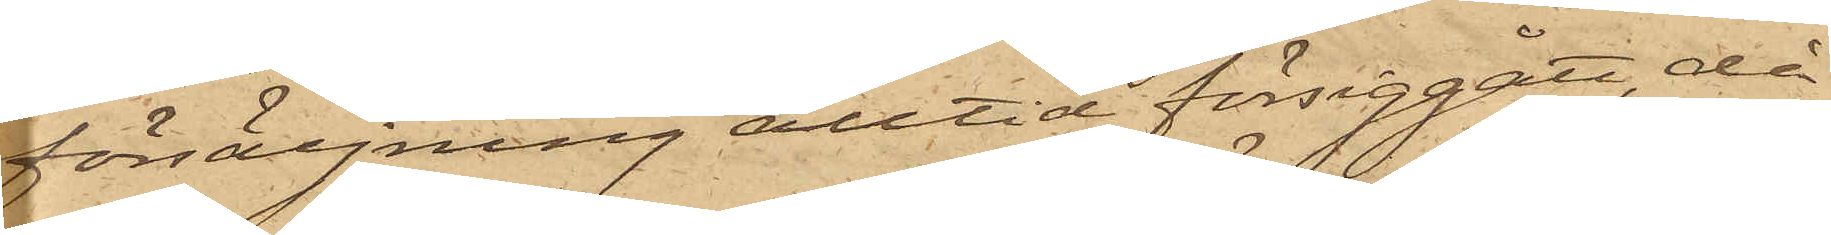försäljning alltid försiggått, då
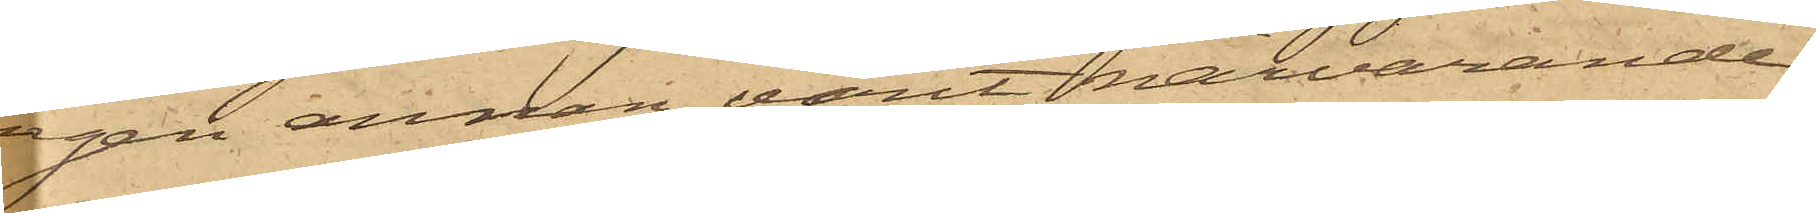ingen annan varit närvarande.
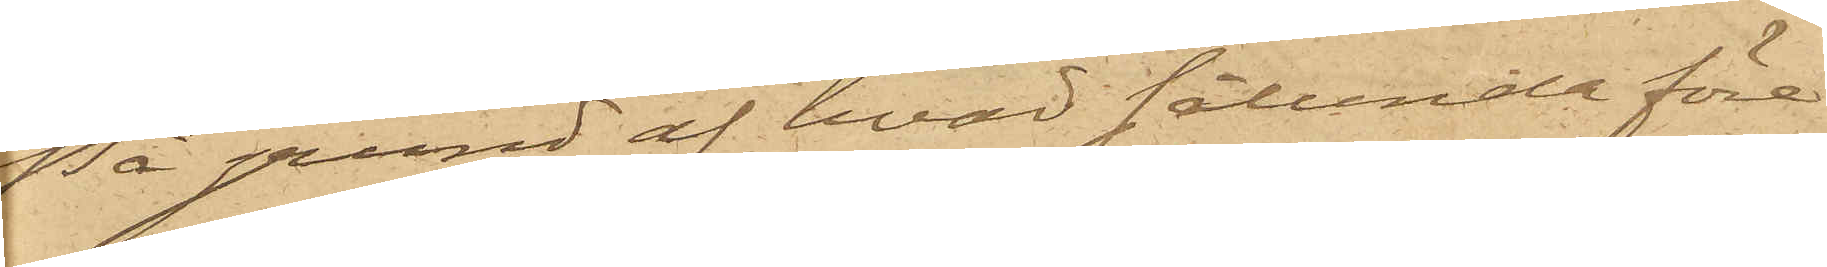På grund af hvad sålunda före¬
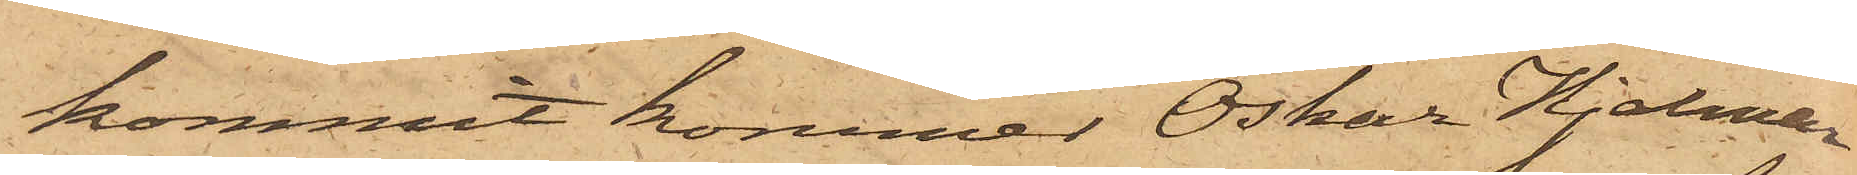kommit kommer Oskar Hjalmar
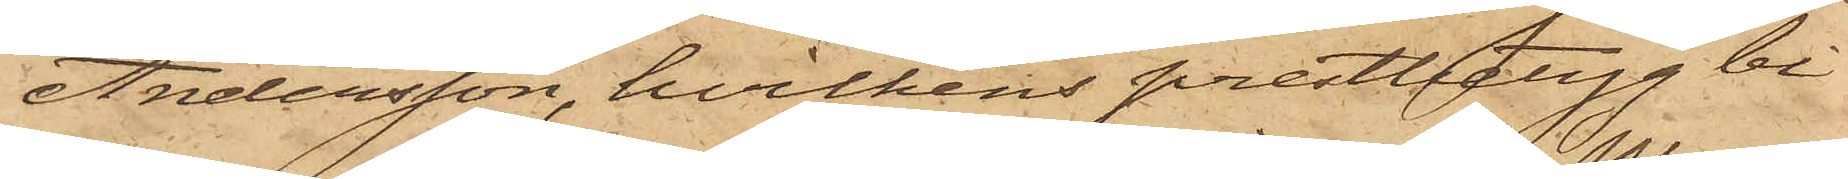Andersson, hvilkens prestbetyg bi¬
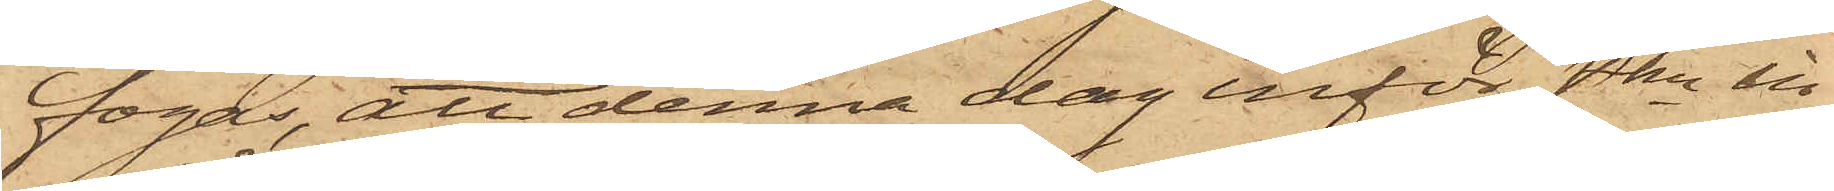fogas, att denna dag inför Pkn in¬
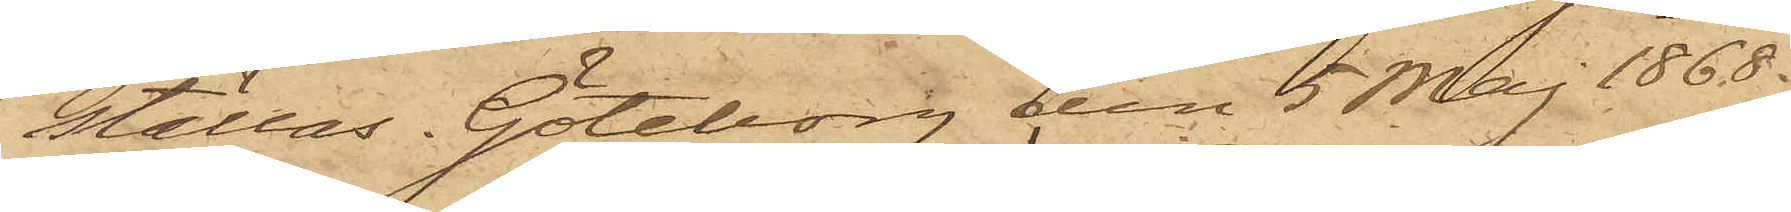ställas. Göteborg den 5 Maj 1868.
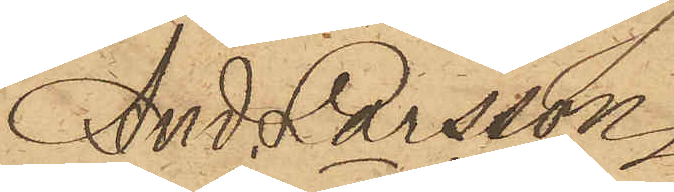And. Larsson.
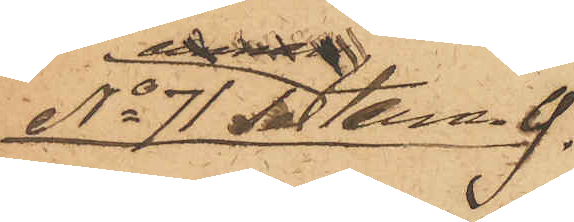No 71 Se tern. 9.
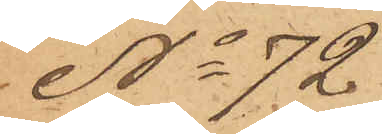No 72
